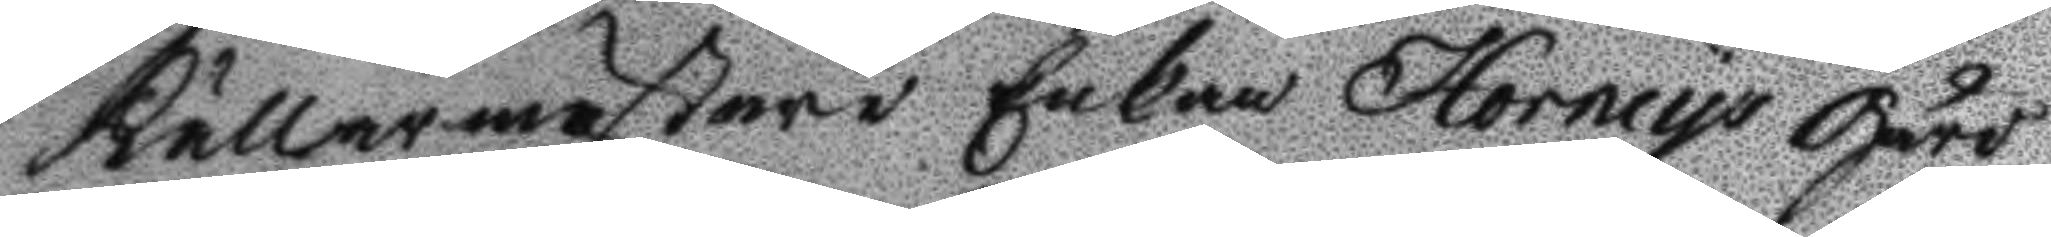Källarmästare Enkan Horncys Gård
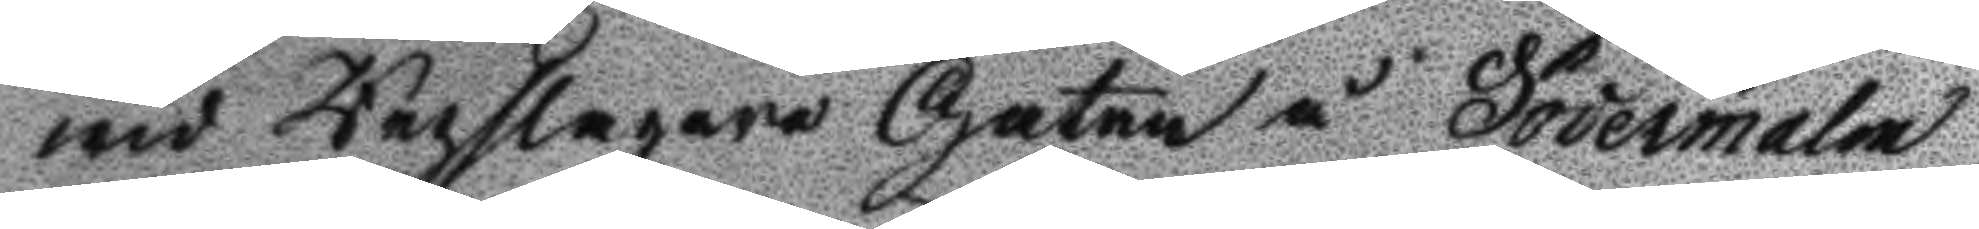wid Repslagare Gatan å Södermalm,
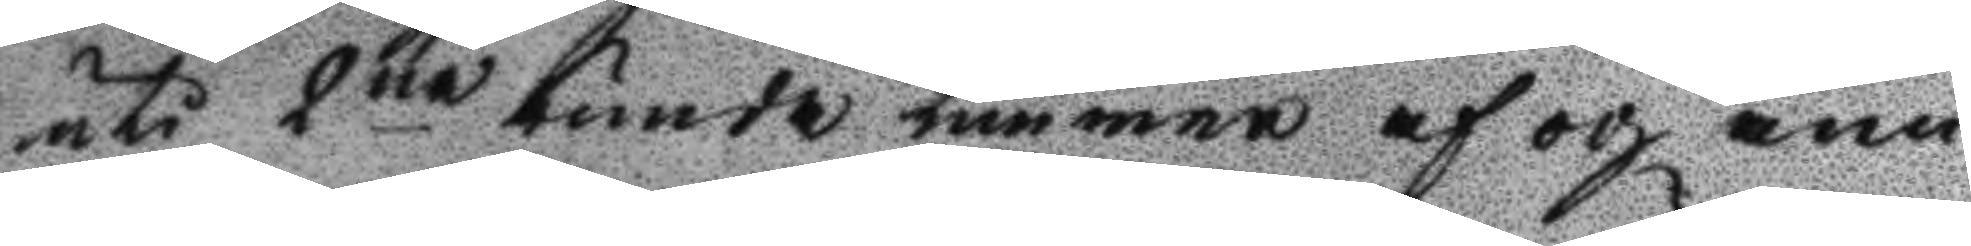uti 2ne runda timmar af och ann
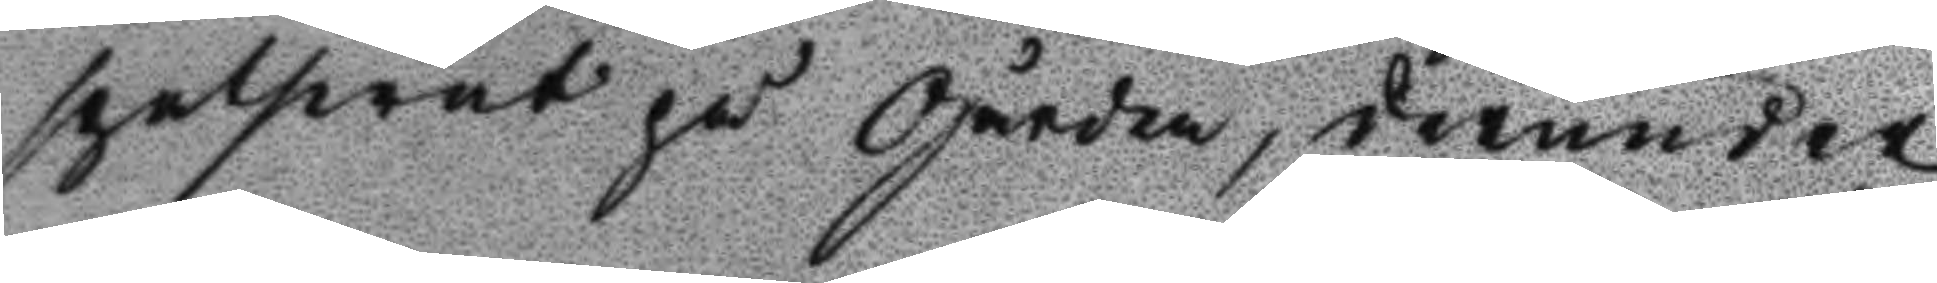spetswat på Gården, derunder
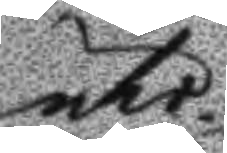uti
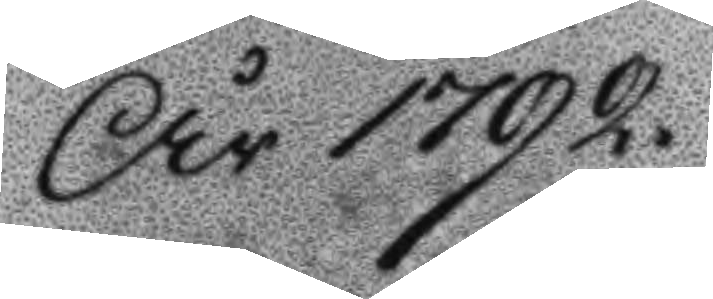År 1792
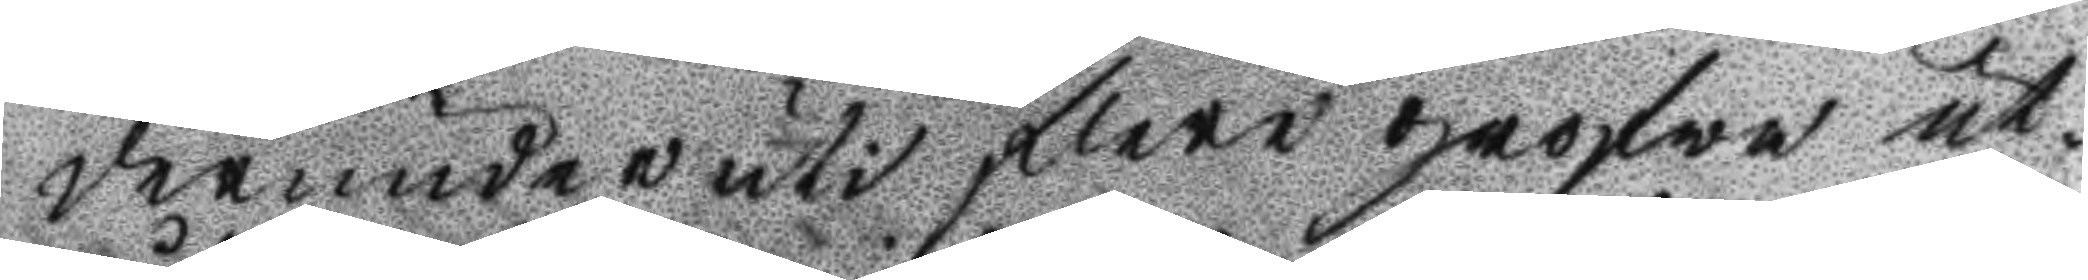derunder uti flere grofwa ut¬
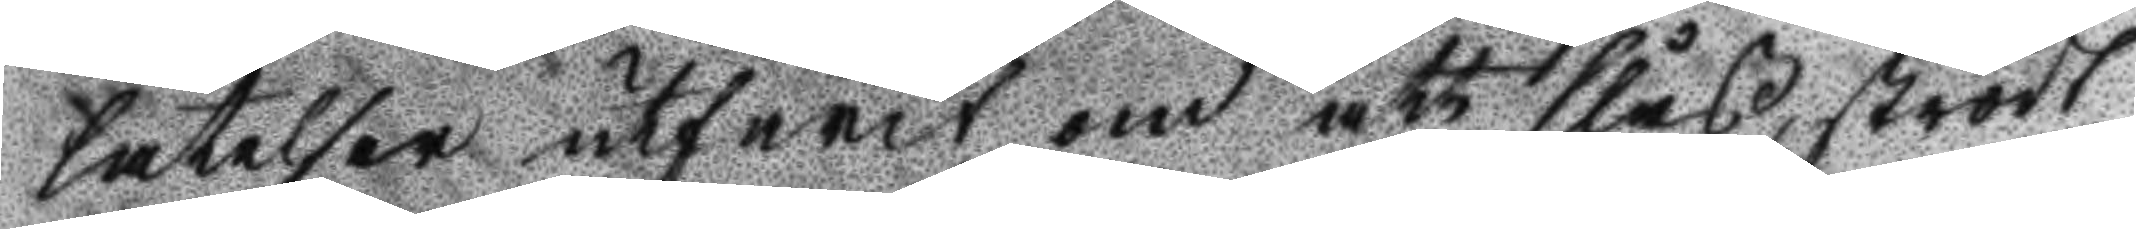låtelser utfarit om att slåss, strödt
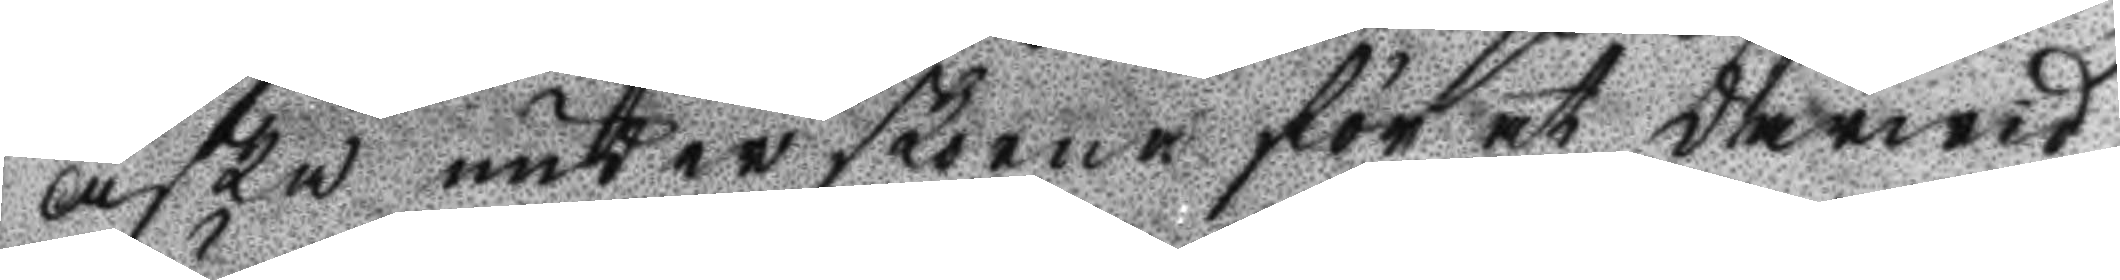aska under skorna för at derwid
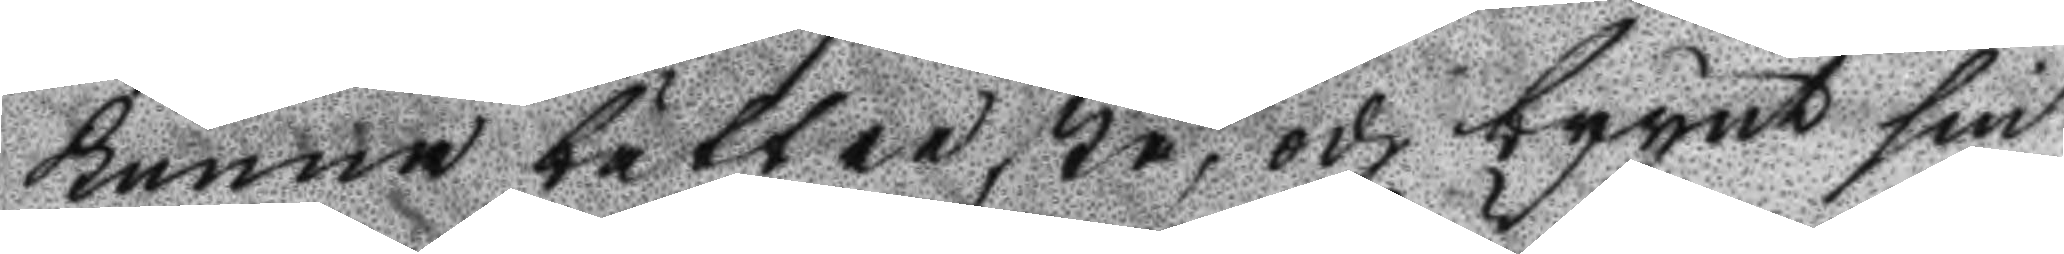kunna bättre stå, och brynt sin
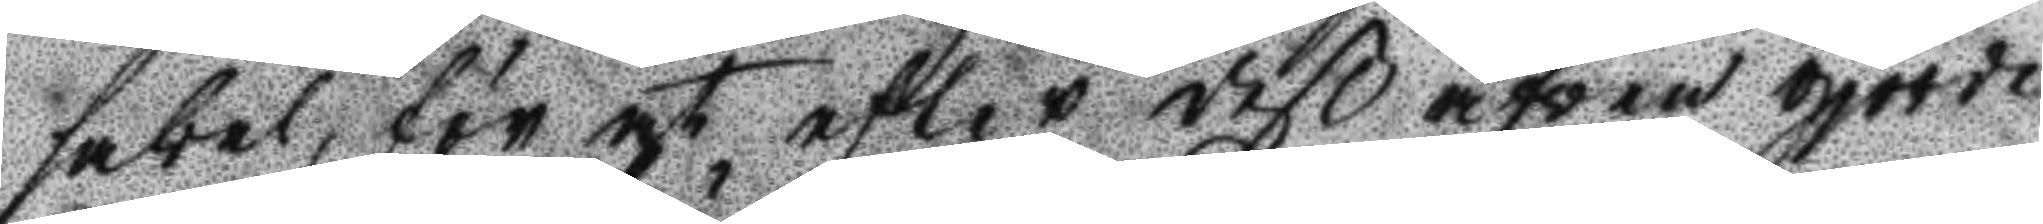sabel, för at efter deß äfven gjorde
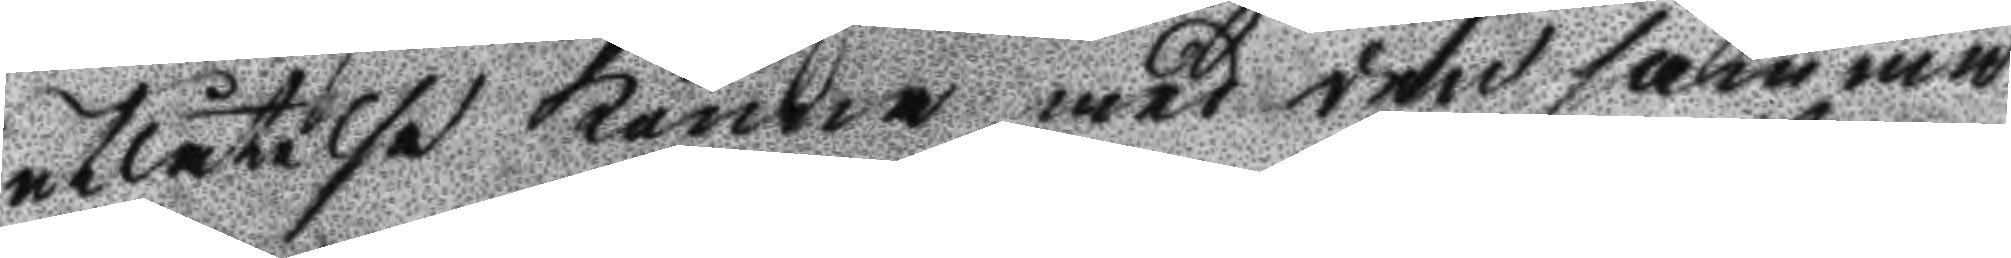utlåtelse kunna med den samma
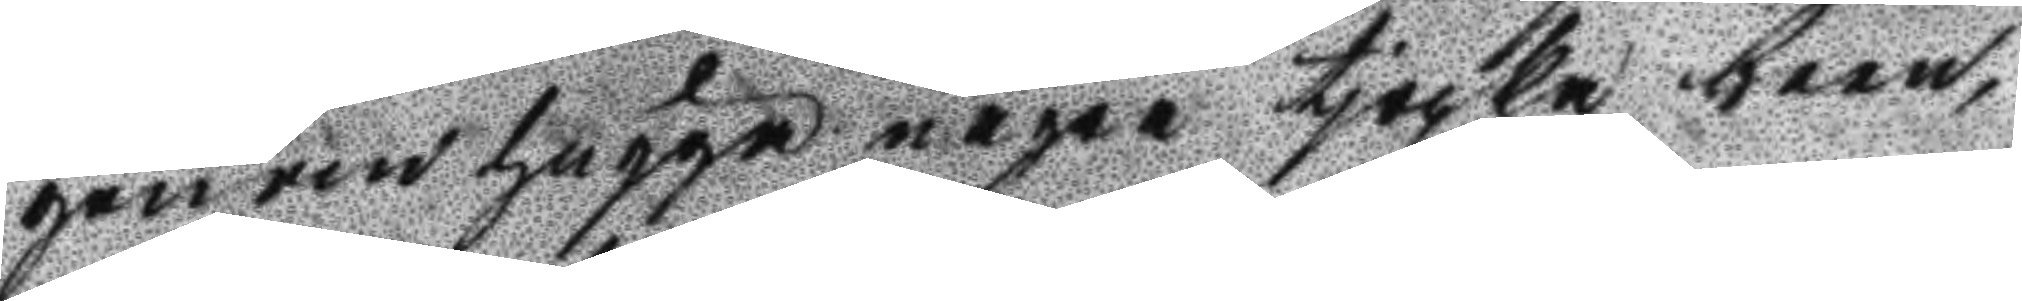genomhugga några tjoca barn,
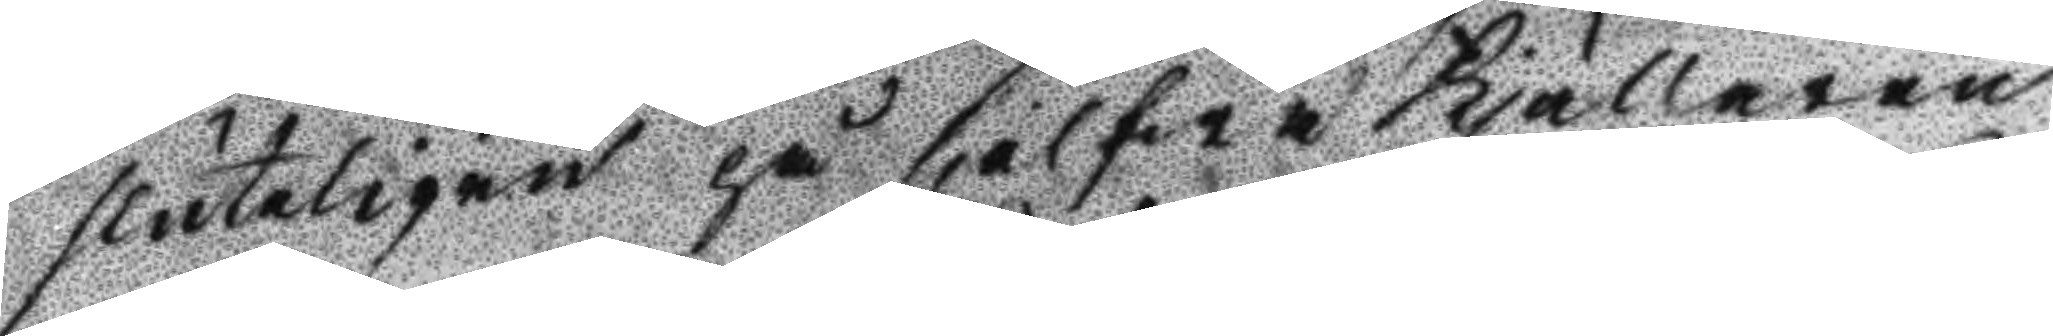sluteligen på sjelfwa kjällaren
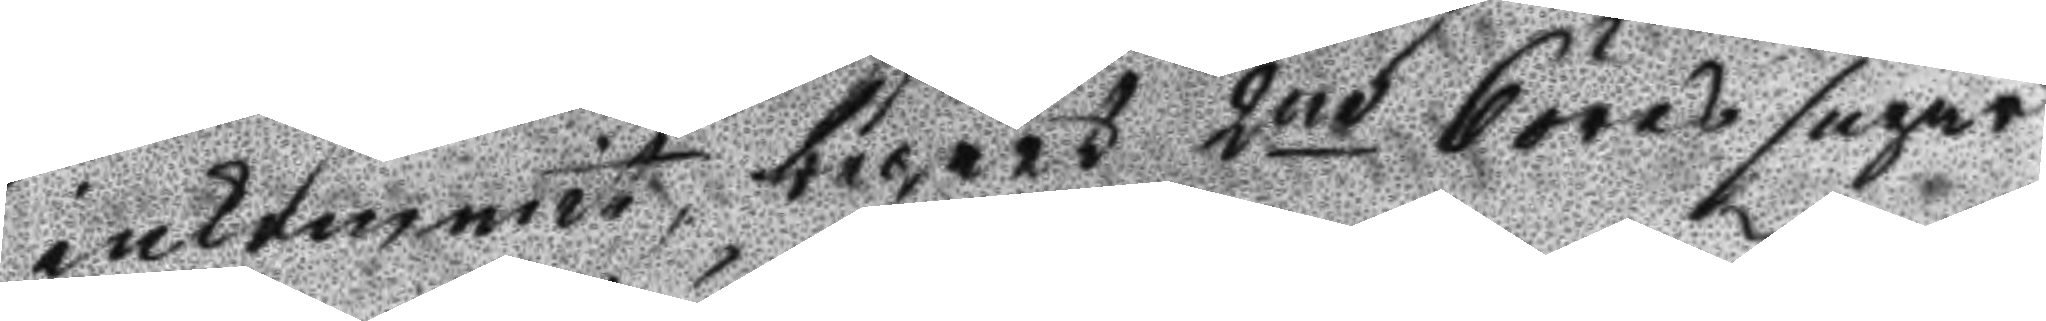inkommit, begärt 2ne 6 öres supar
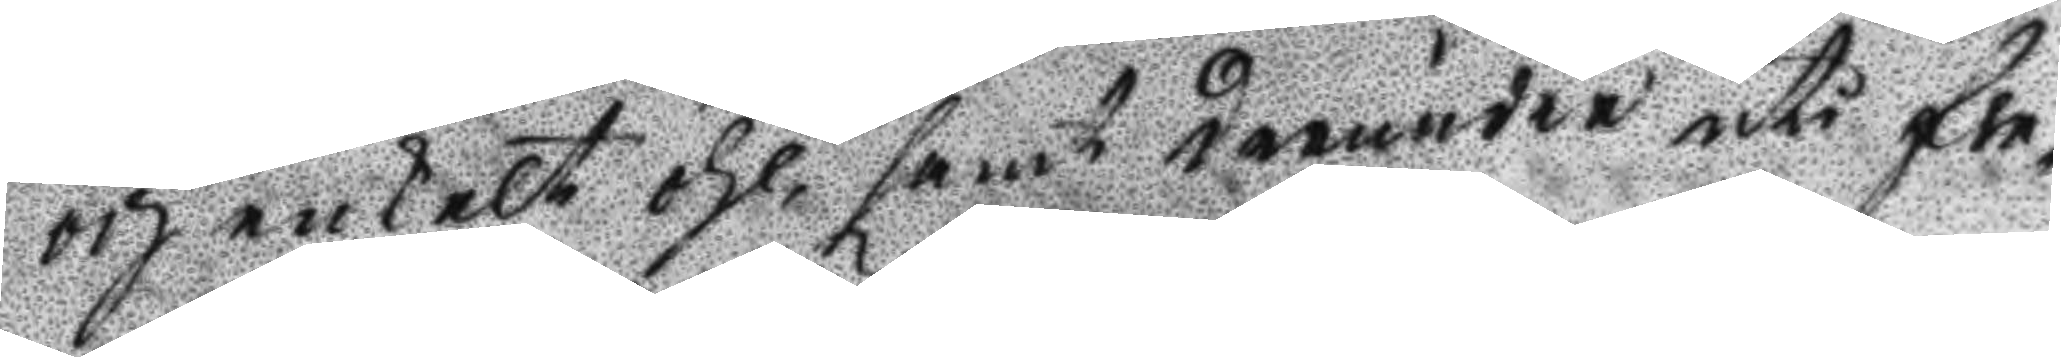och enkelt öhl, samt därunder uti fle¬
